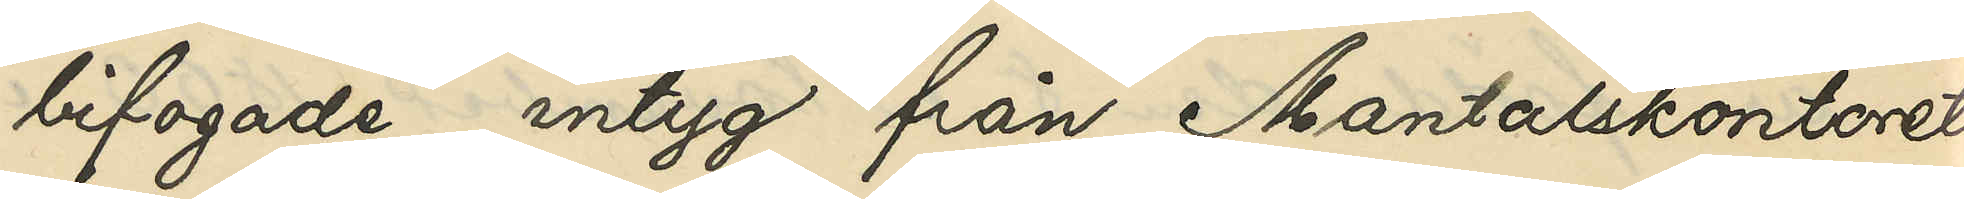bifogade intyg från Mantalskontoret,
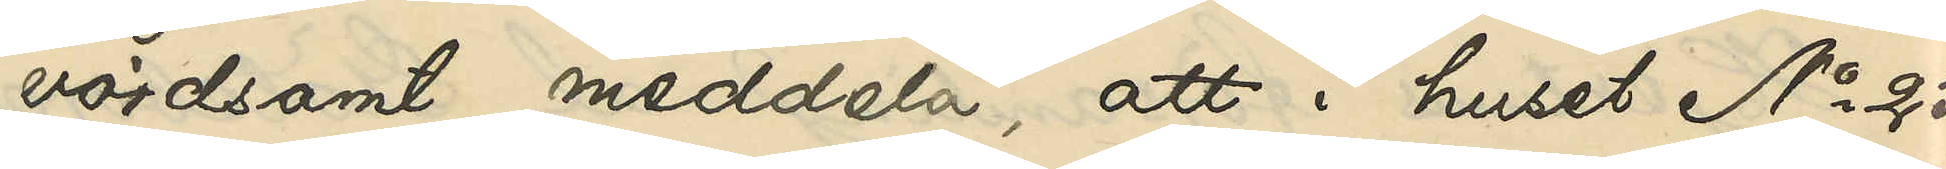vördsamt meddela, att i huset No 25
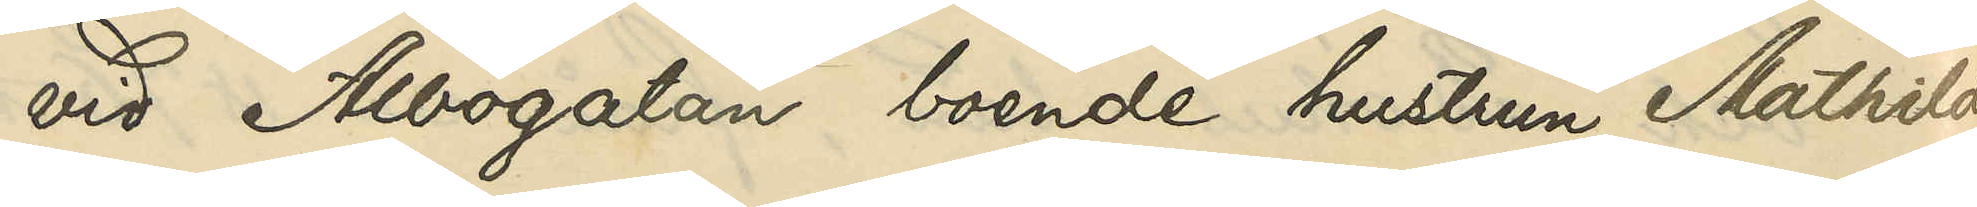vid Albogatan boende hustrun Mathilda
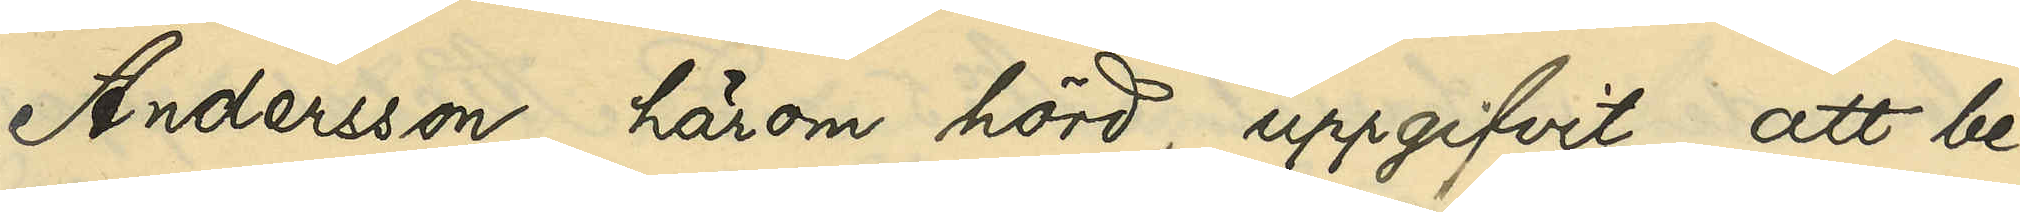Andersson, härom hörd, uppgifvit: att be¬
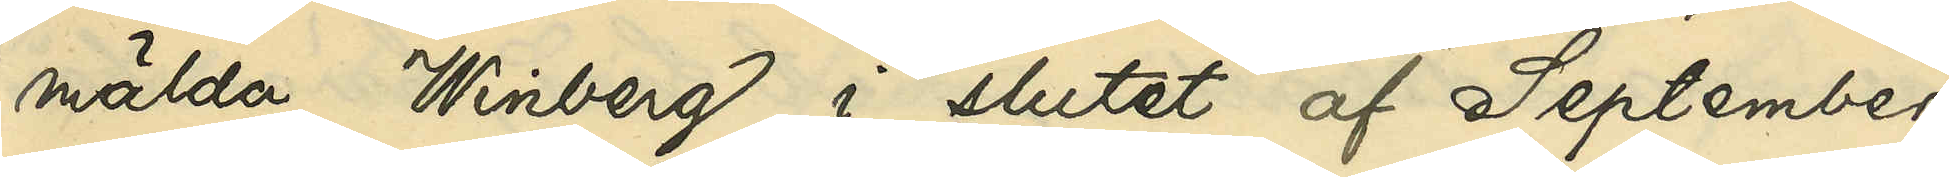mälda Winberg i slutet af September
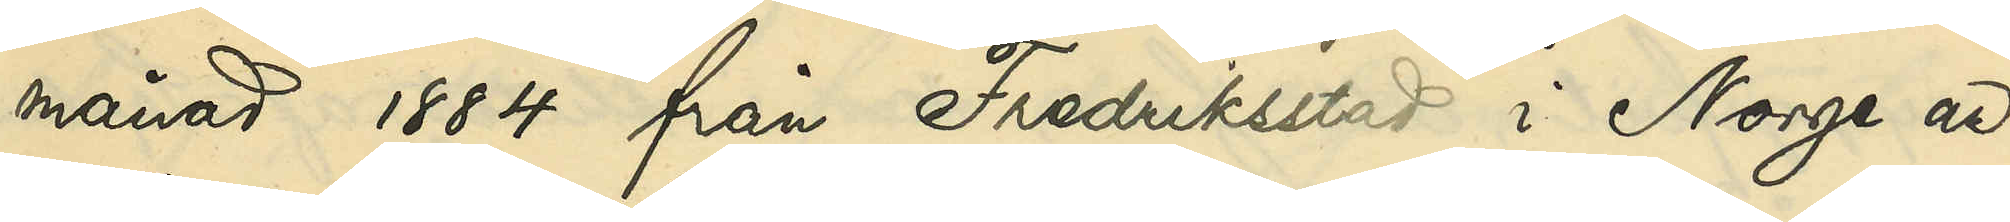månad 1884 från Fredrikstad i Norge an¬
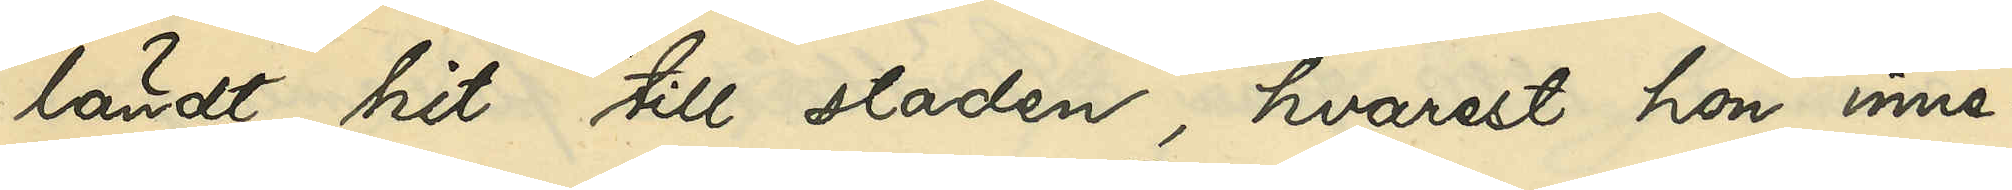ländt hit till staden, hvarest hon inne¬
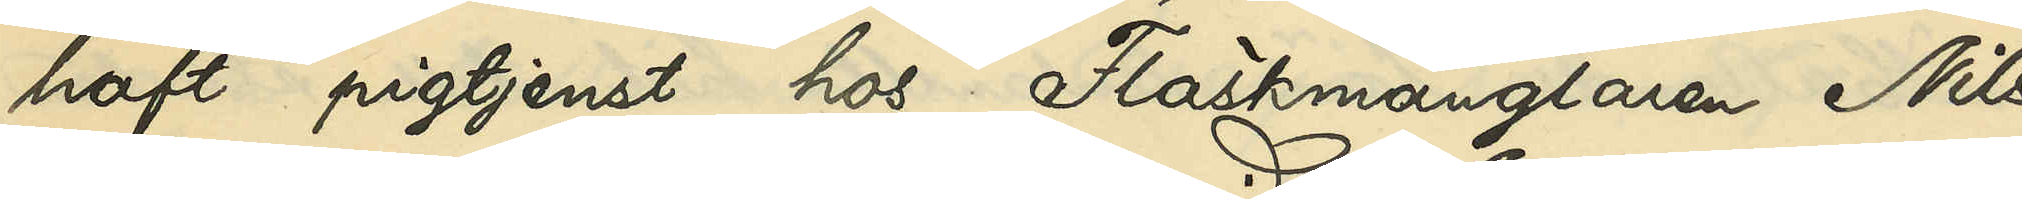haft pigtjenst hos Fläskmånglaren Nils
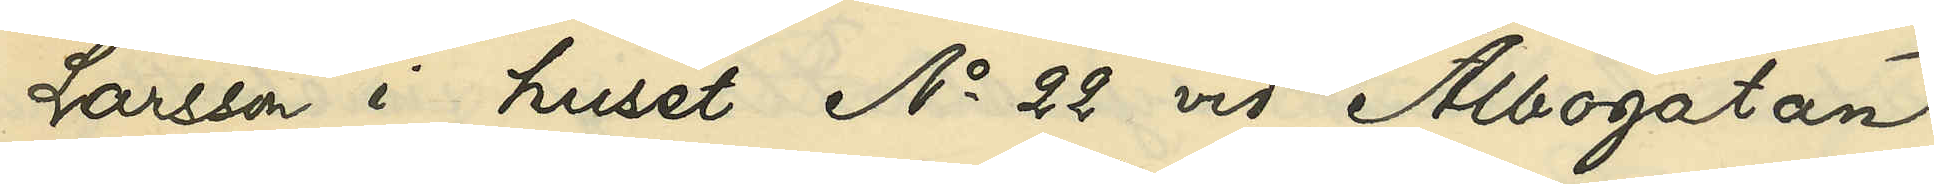Larsson i huset No 22 vid Albogatan
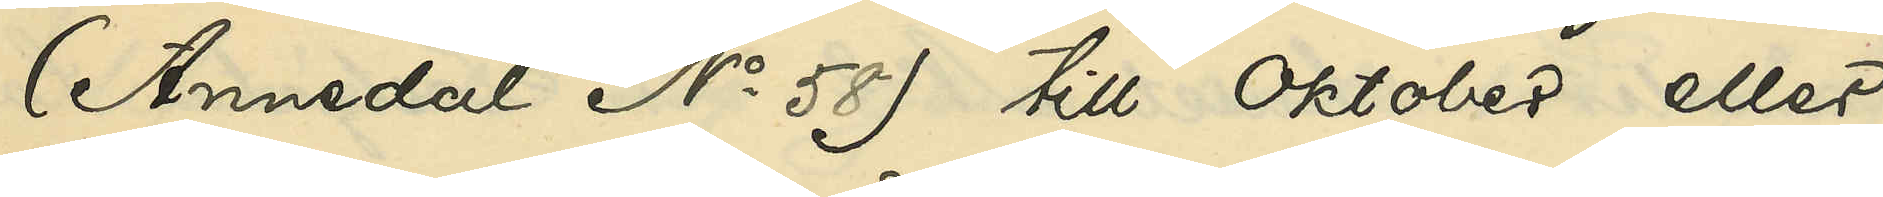(Annedal No 58) till Oktober eller
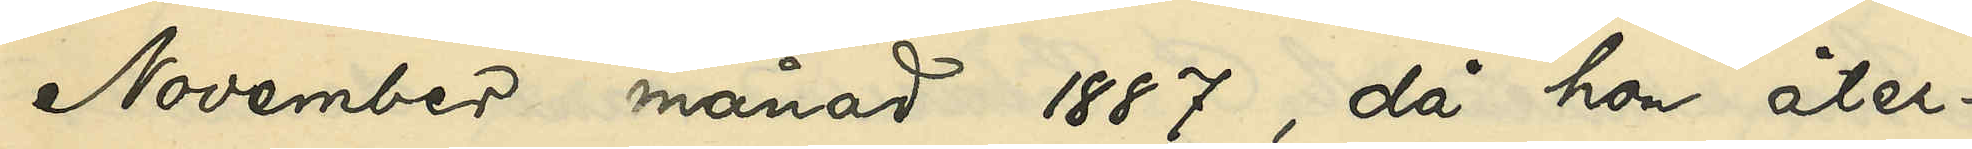November månad 1887, då hon åter¬
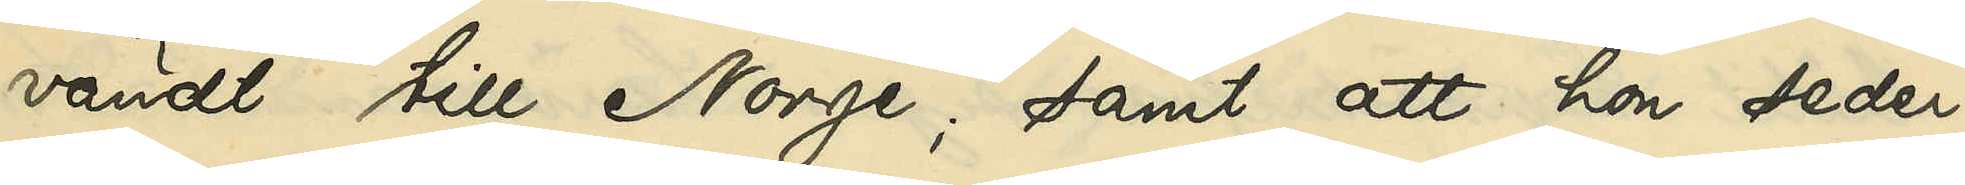vändt till Norge; samt att hon seder¬
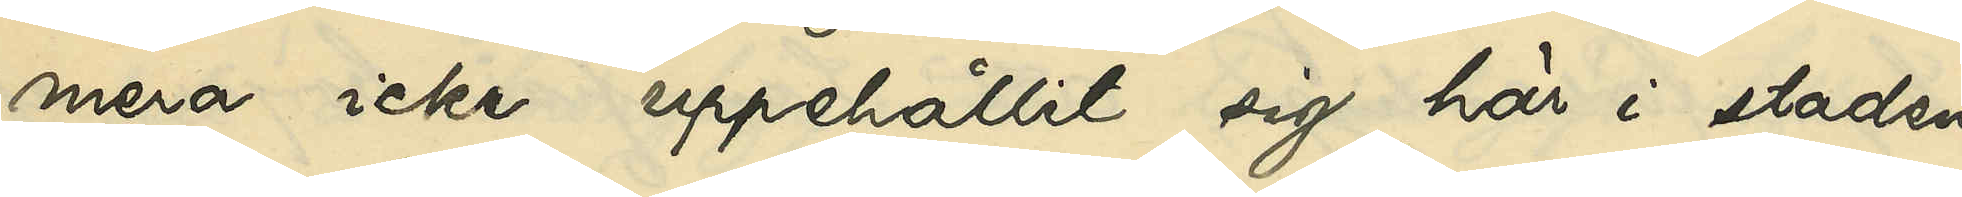mera icke uppehållit sig här i staden
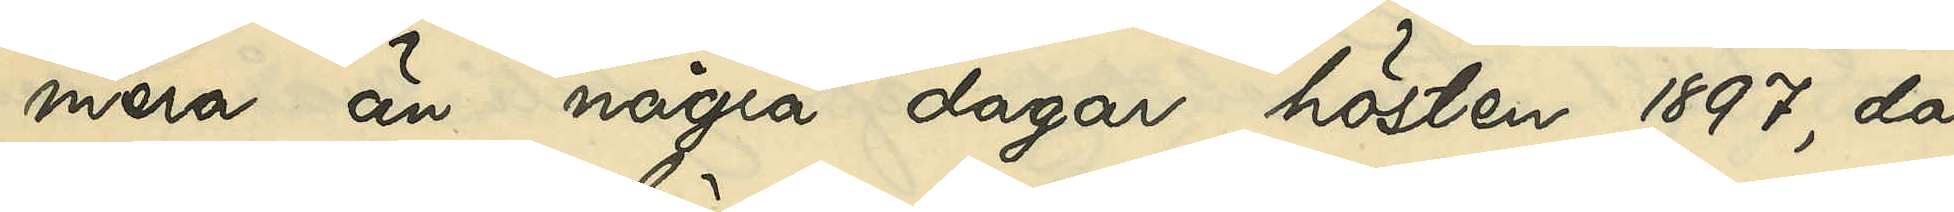mera än några dagar hösten 1897, då
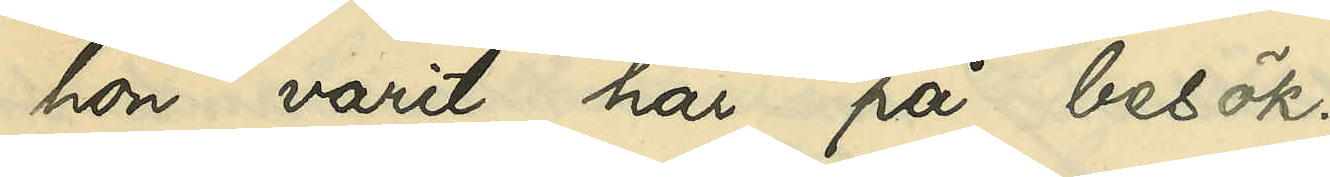hon varit här på besök.
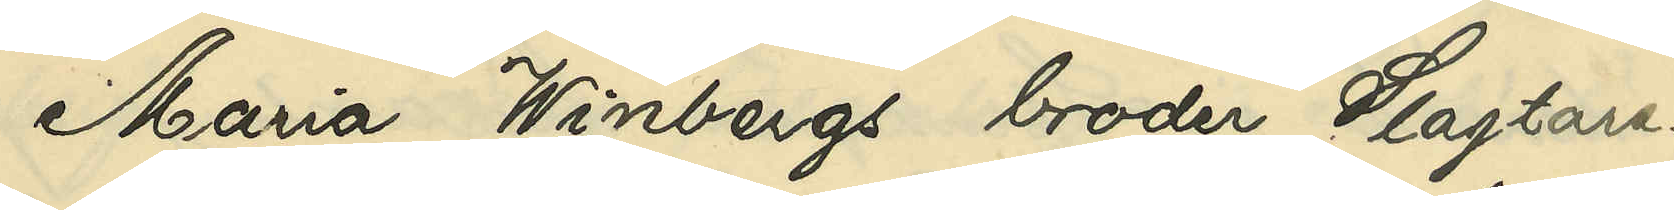Maria Winbergs broder, Slagtare¬
